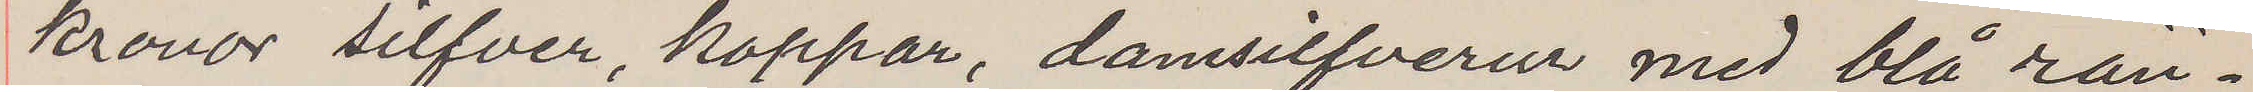kronor silfver, koppar, damsilfvereur med blå rän¬
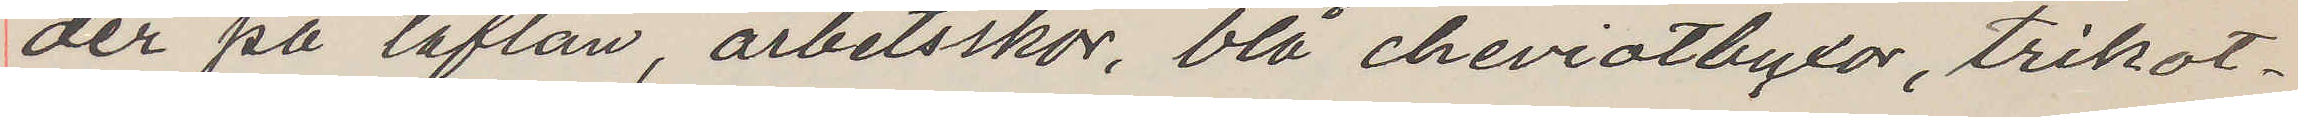der på taflan, arbetsskor, blå cheviotbyxor, trikot¬
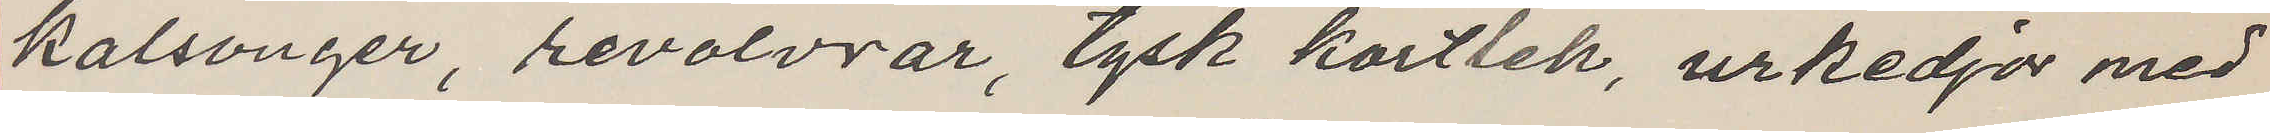kalsonger, revolvrar, tysk kortlek, urkedjor med
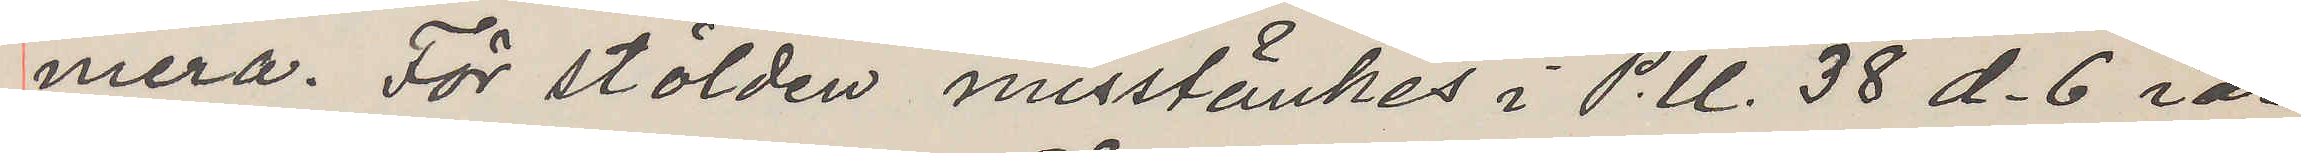mera. För stölden misstänkes i P.U. 38 d.6 i år
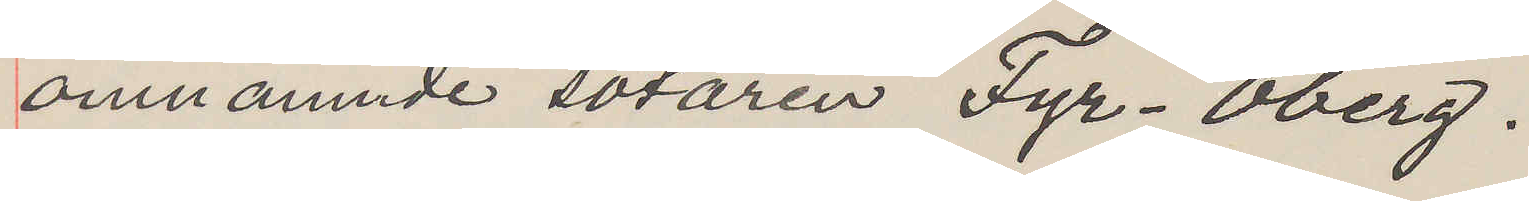omnämnde sotaren Fyr. Öberg.
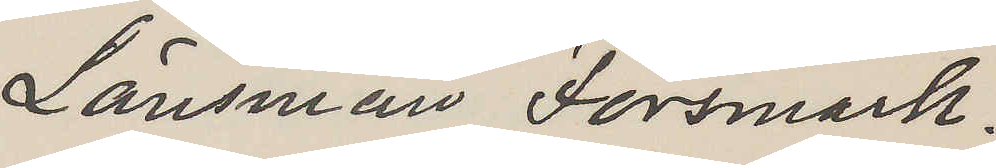Länsman Forsmark.
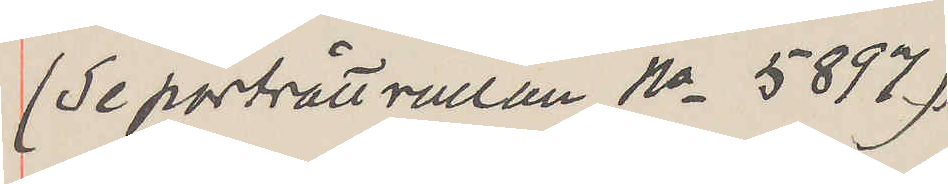(Se porträttrullan No 5897)
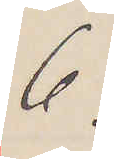6.
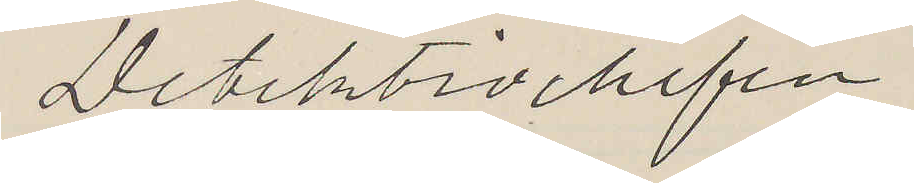Detektivchefen.
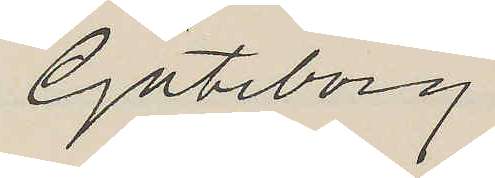Göteborg
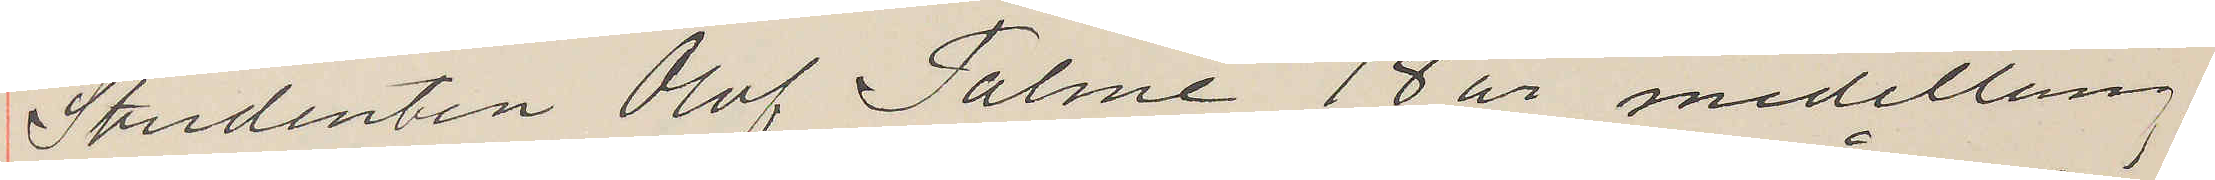Studenten Olof Palme, 18 år medellång,
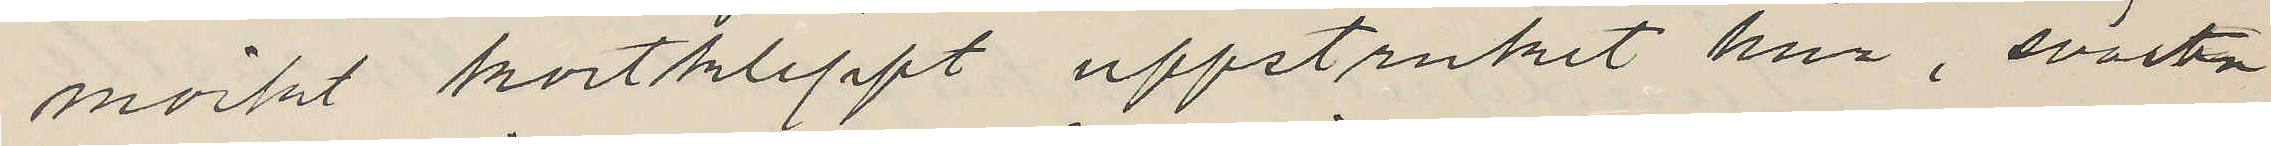mörkt kortklippt uppstruket hår, svarta
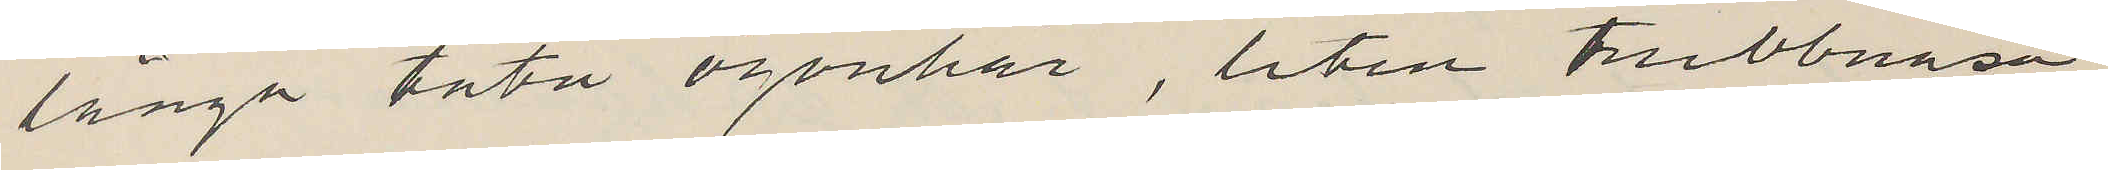långa täta ögonhår, liten trubbnäsa,
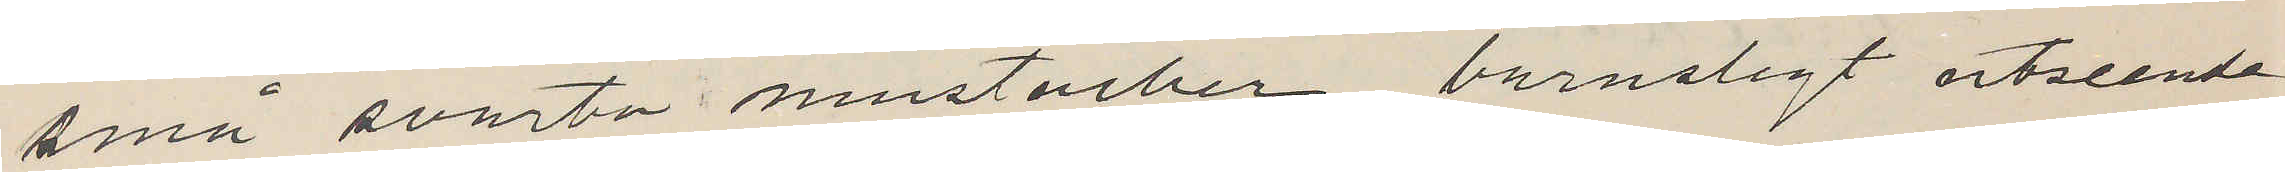små svarta mustacher, barnsligt utseende
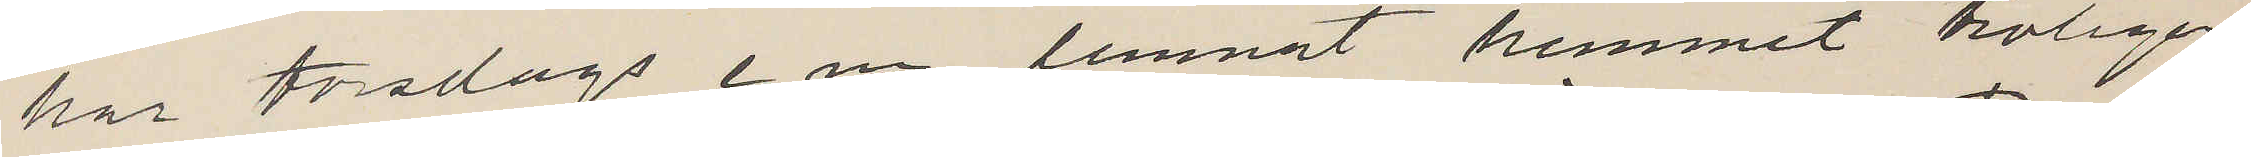har torsdags e m lemnat hemmet troligen
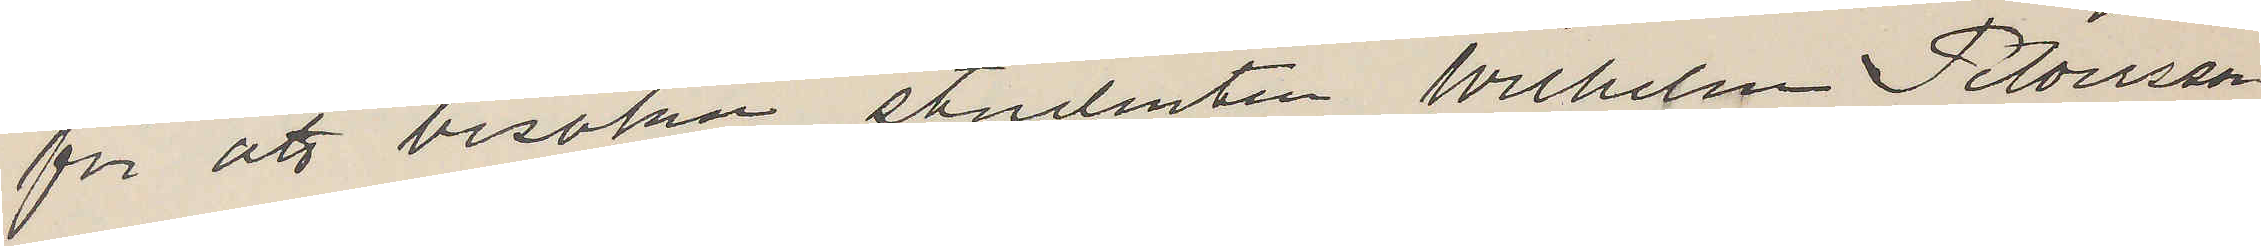för att besöka studenten Wilhelm Petersson
